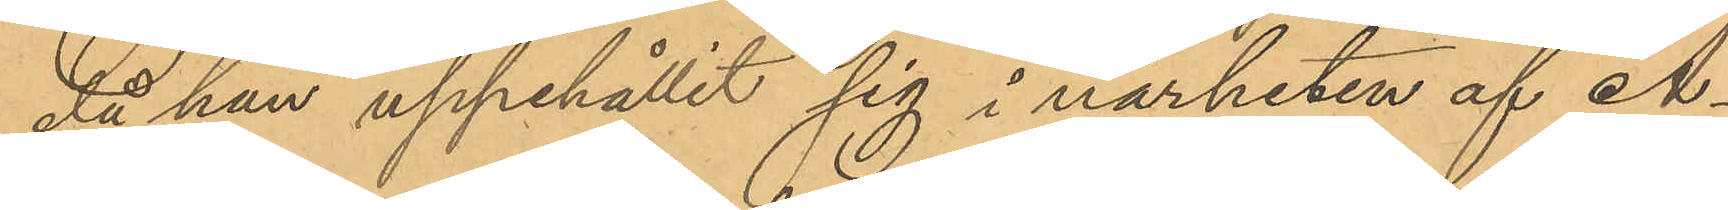då han uppehållit sig i närheten af A¬
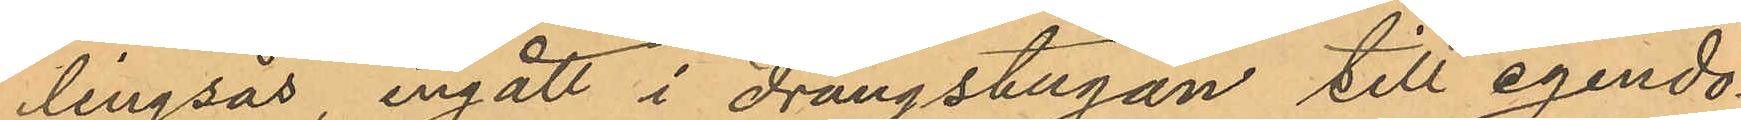lingsås, ingått i drängstugan till egendo¬
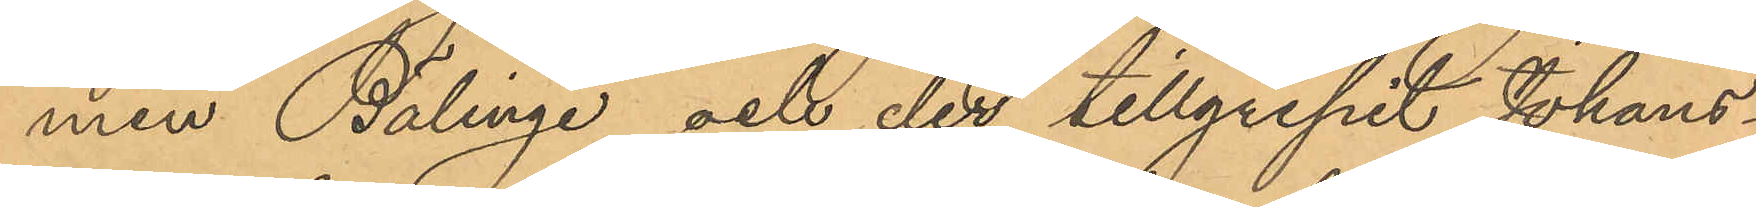men Bälinge och der tillgripit Johans¬
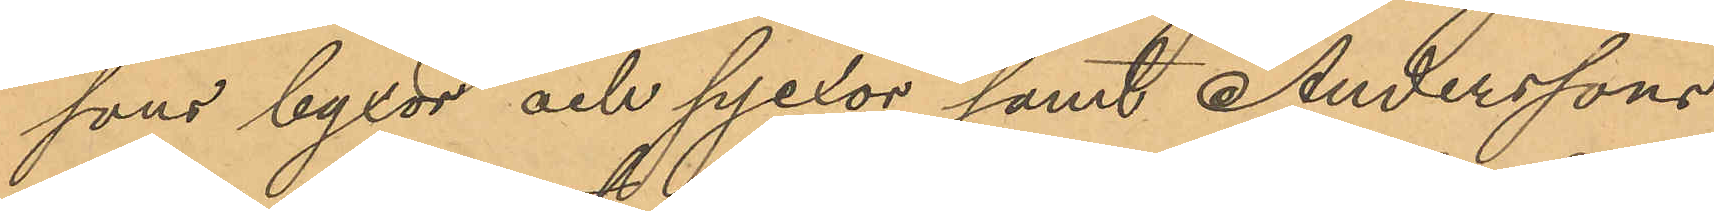sons byxor och pjexor samt Anderssons
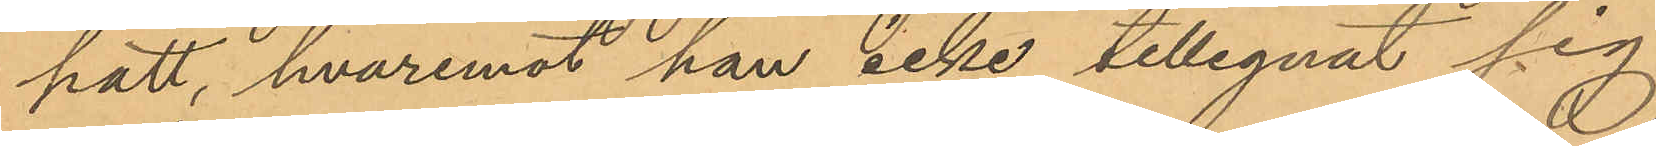hatt, hvaremot han icke tillegnat sig
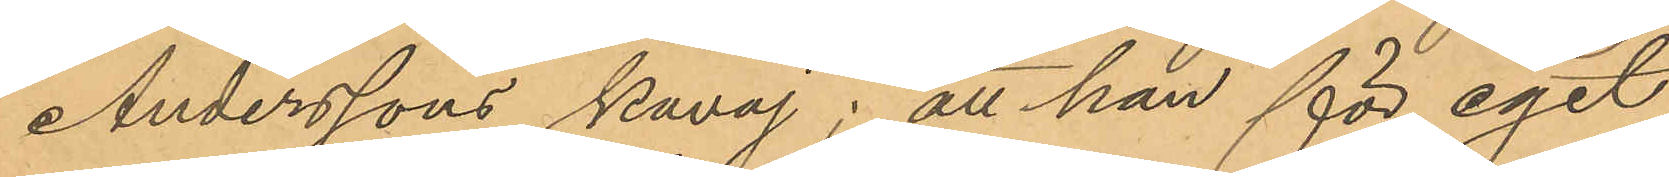Anderssons kavaj; att han för eget
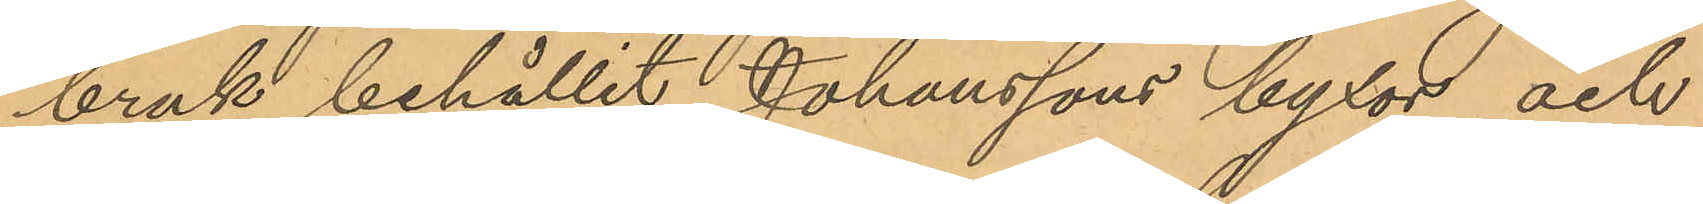bruk behållit Johanssons byxor och
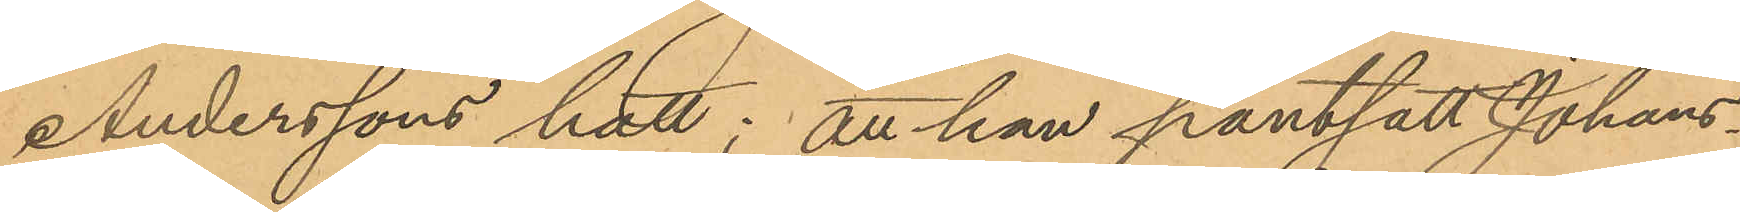Anderssons hatt; att han pantsatt Johans¬
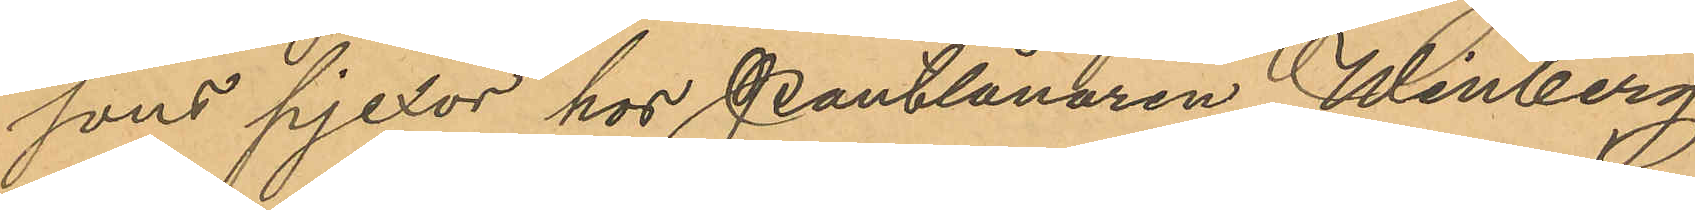sons pjexor hos Pantlånaren Winberg;
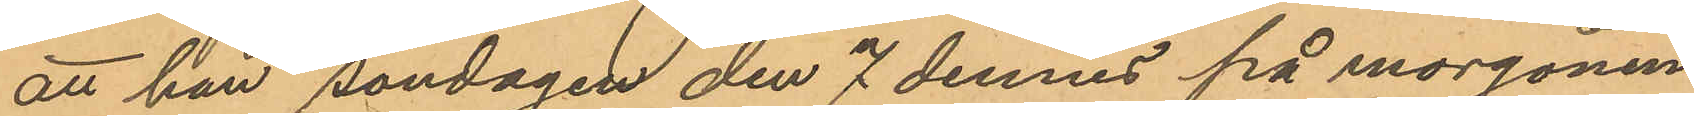att han söndagen den 7 dennes på morgonen
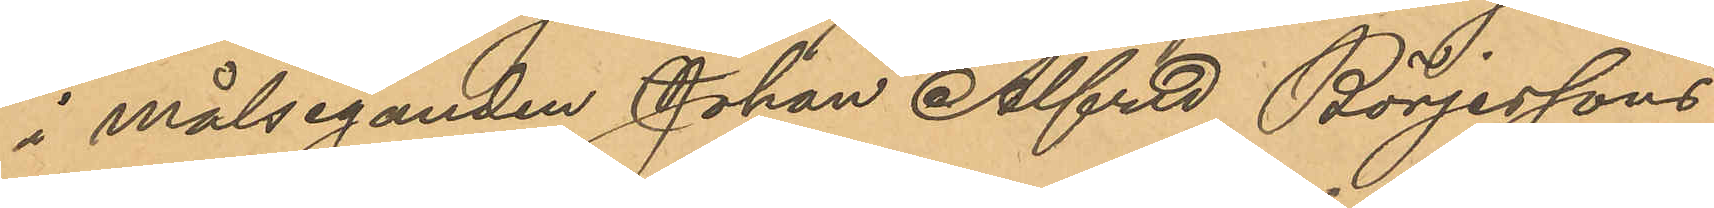i målseganden Johan Alfred Börjessons
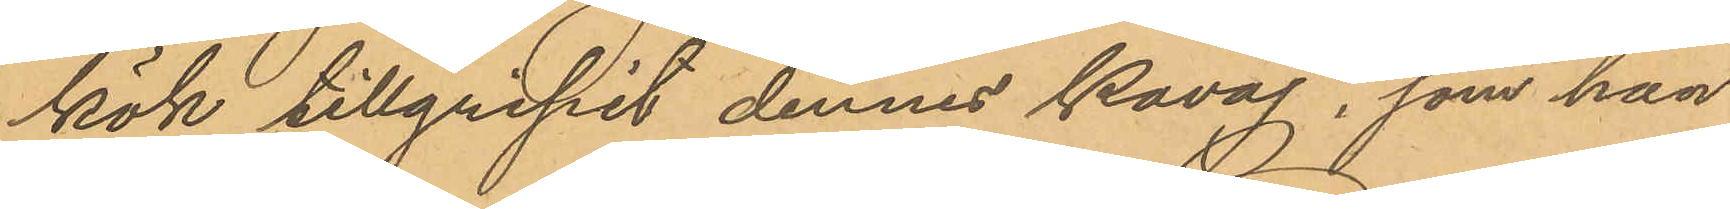kök tillgripit dennes kavaj, som han
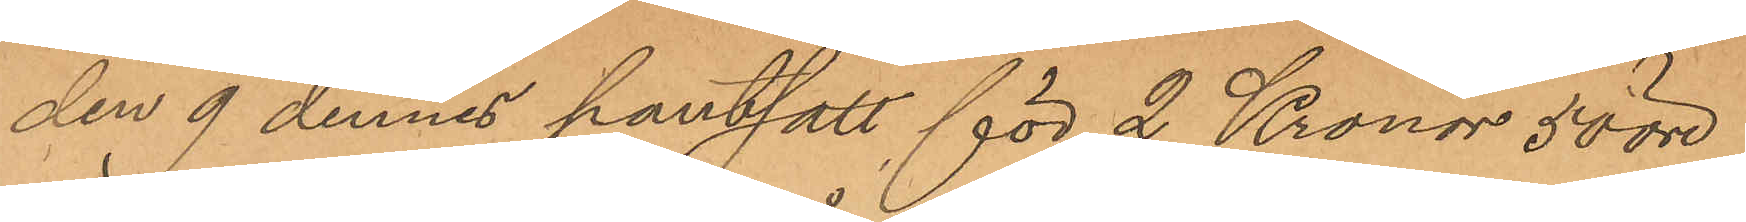den 9 dennes pantsatt för 2 Kronor 50 öre
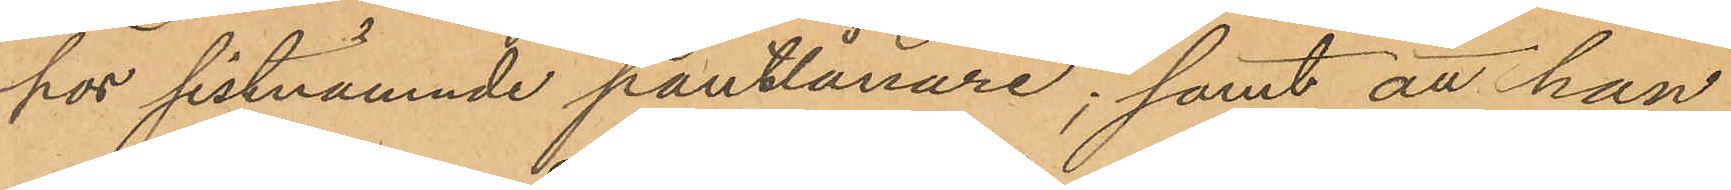hos sistnämnde pantlånare; samt att han
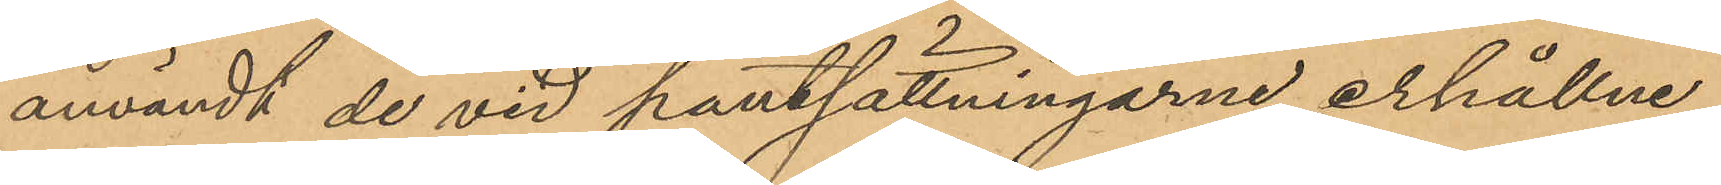användt de vid pantsättningarne erhållne
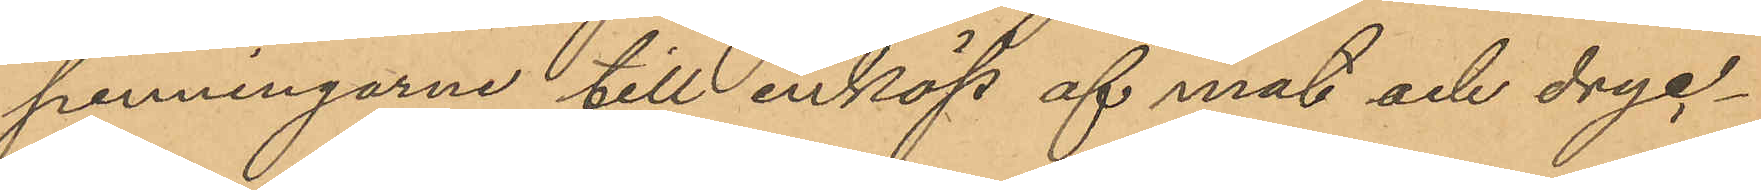penningarne till inköp af mat och dryc¬
